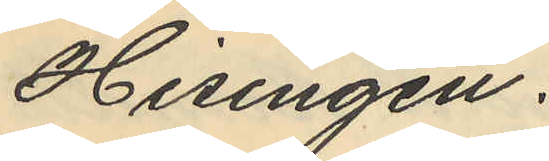Hisingen.
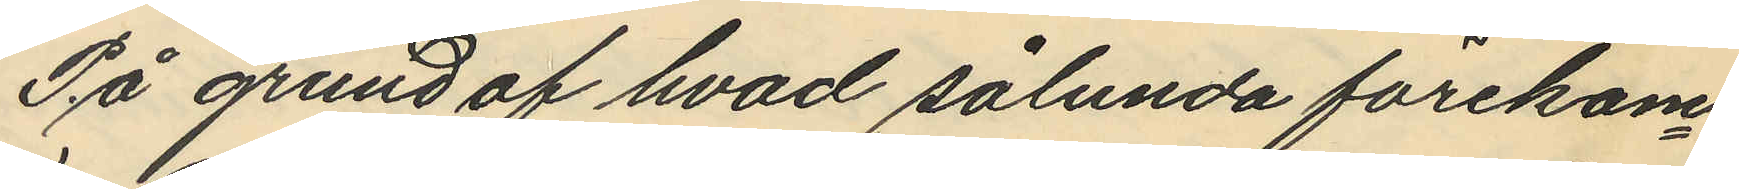På grund af hvad sålunda förekom¬
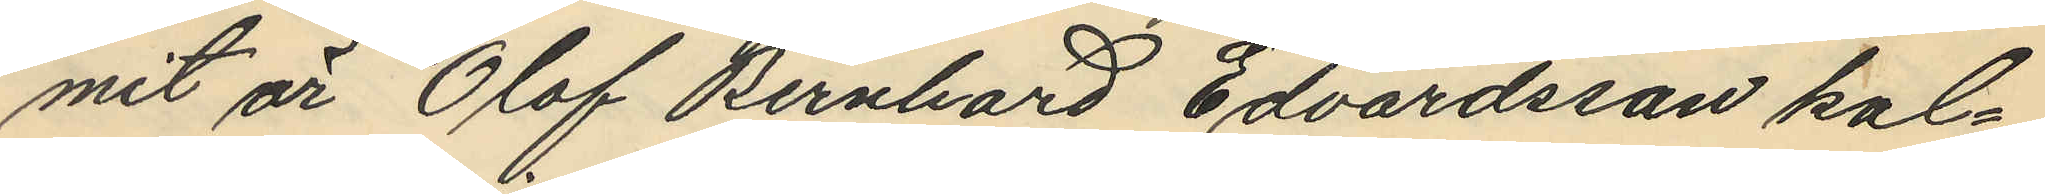mit är Olof Bernhard Edvardsson kal¬
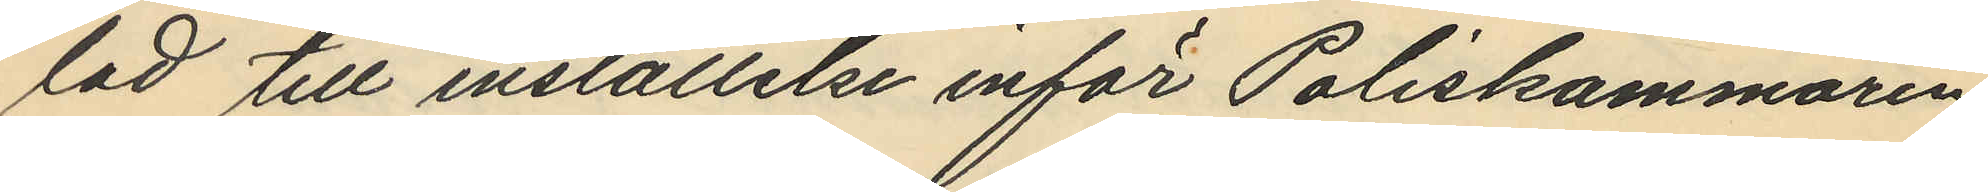lad till inställelse inför Poliskammaren
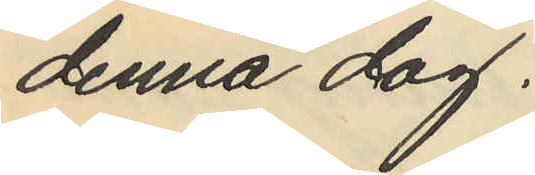denna dag.
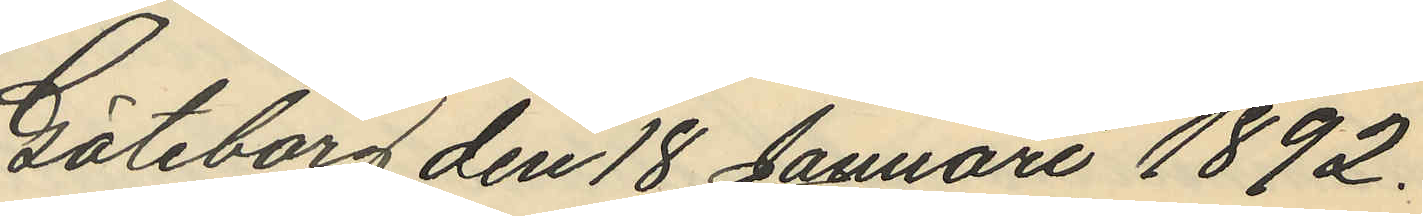Göteborg den 18 Januari 1892.
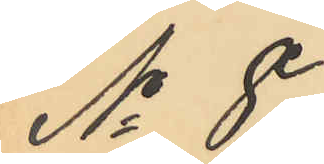No 8.
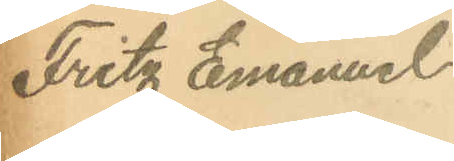Fritz Emanuel
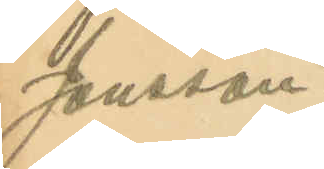Jonsson.
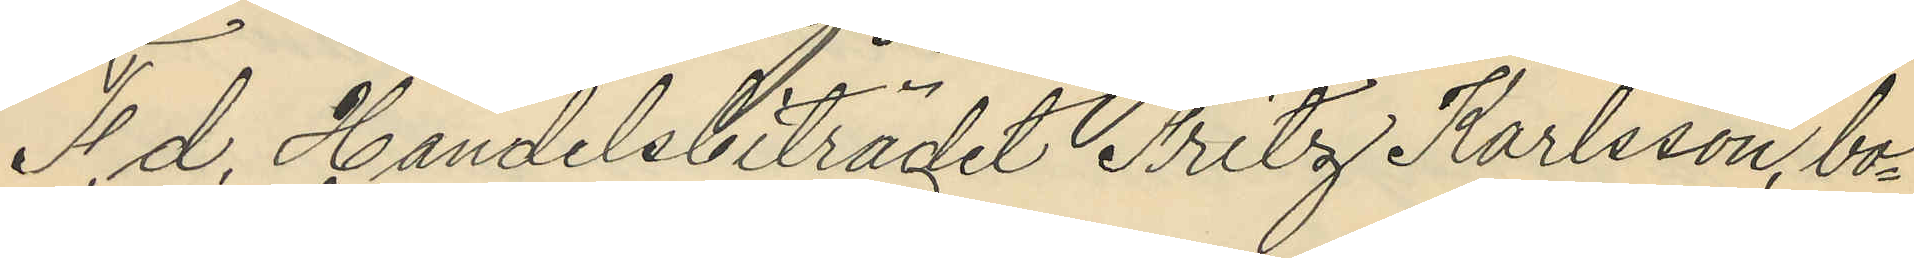F. d. Handelsbiträdet Fritz Karlsson, bo¬
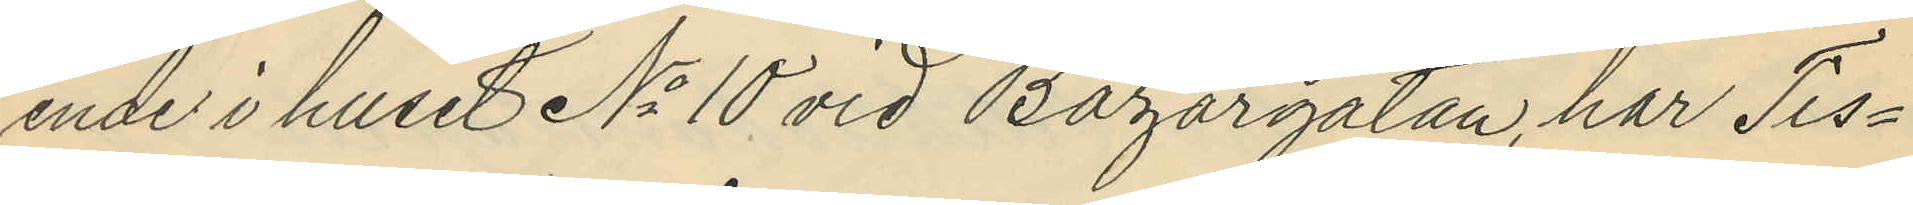ende i huset No 10 vid Bazargatan, har Tis¬
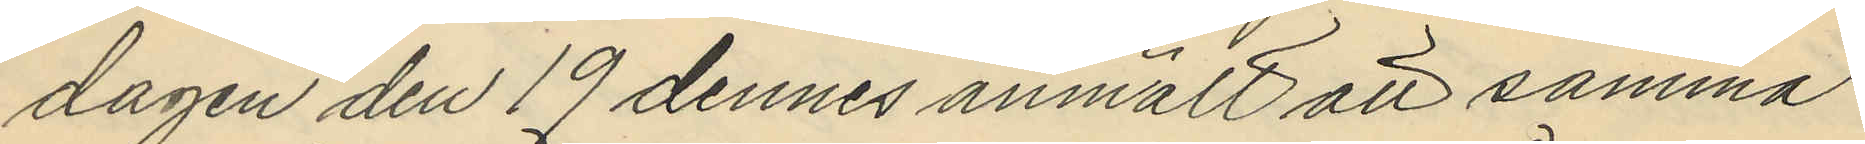dagen den 19 dennes anmält att samma
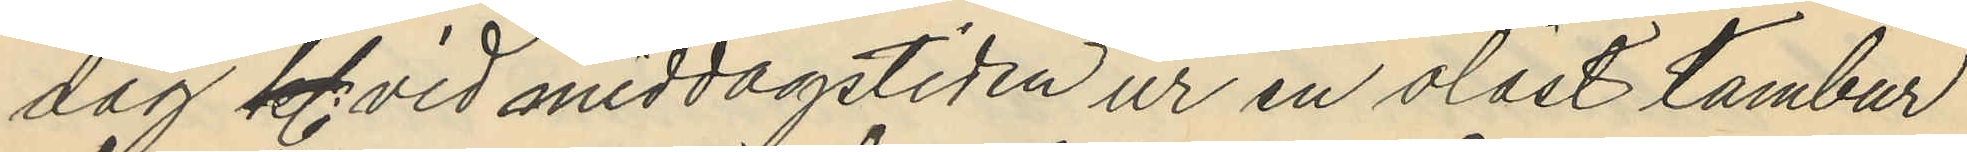dag kl vid middagstiden ur en olåst tambur
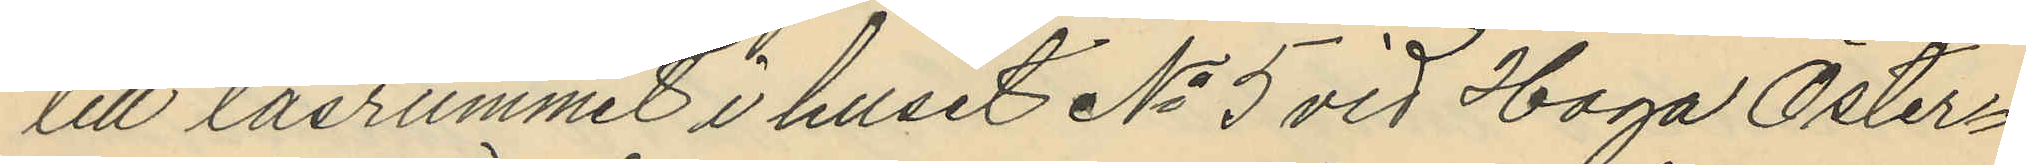till läsrummet i huset No 5 vid Haga Öster¬
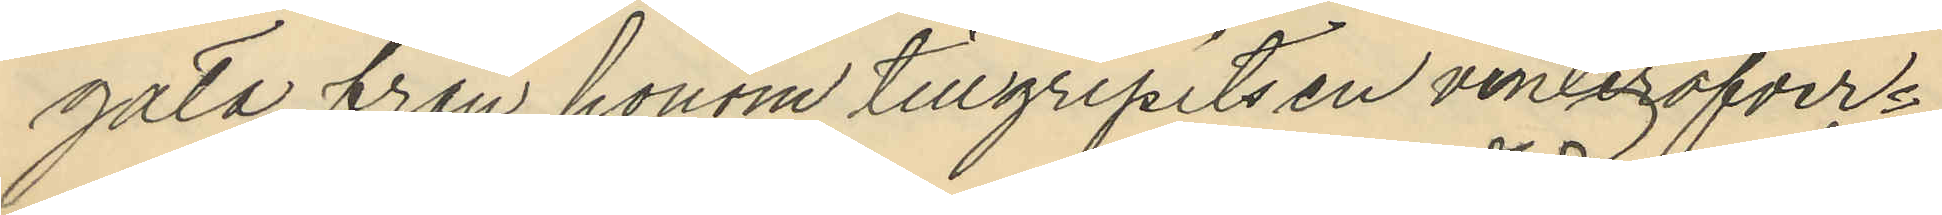gata, från honom tillgripits en vinteröfver¬
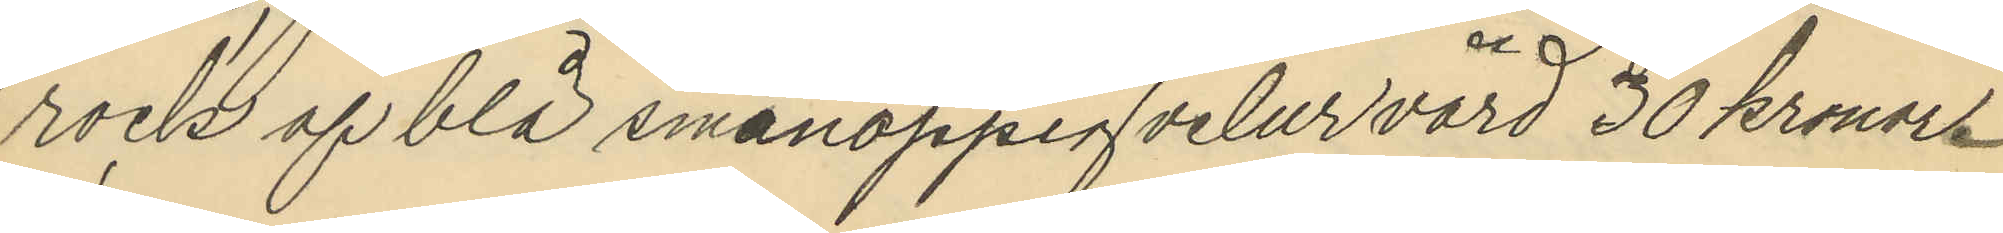rock af blå smånoppig velur värd 30 kronor.
